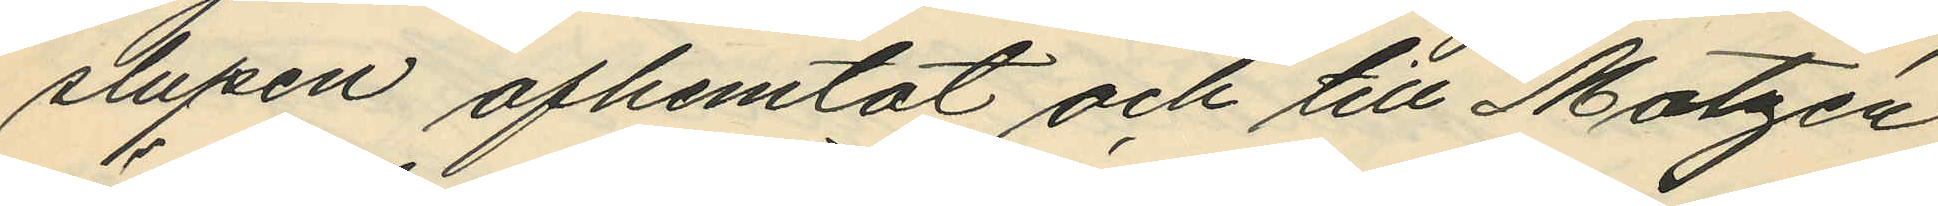slupen afhemtat och till Matzén
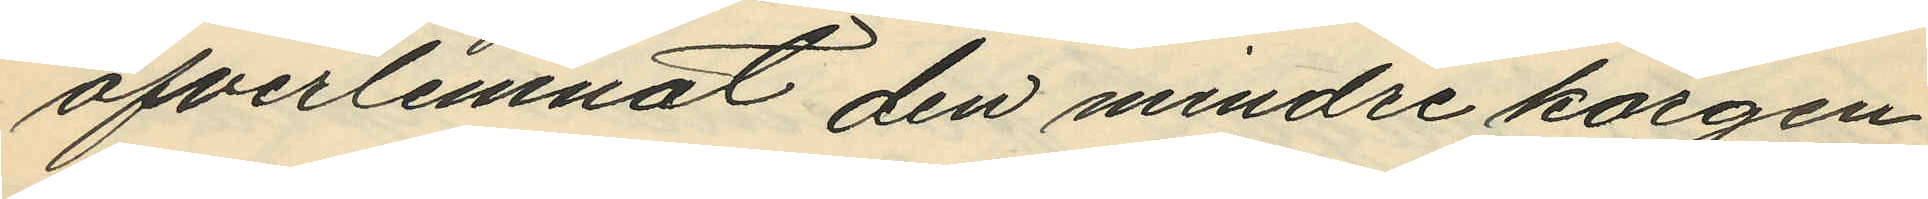öfverlemnat den mindre korgen,_
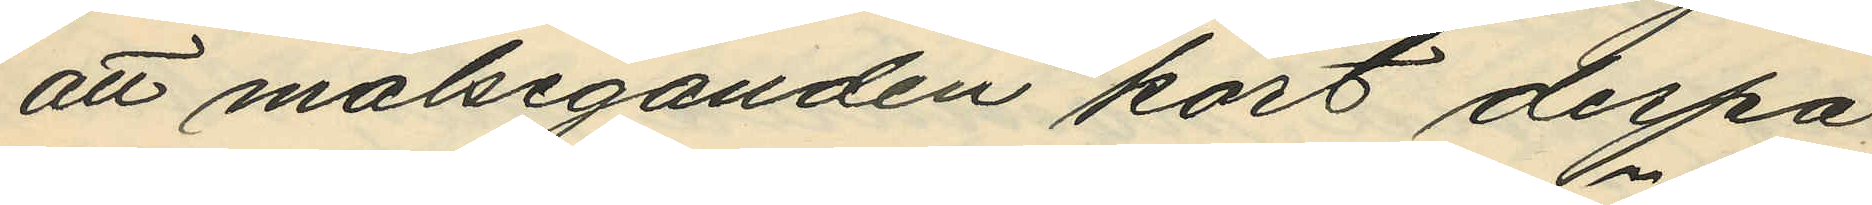att målseganden kort derpå
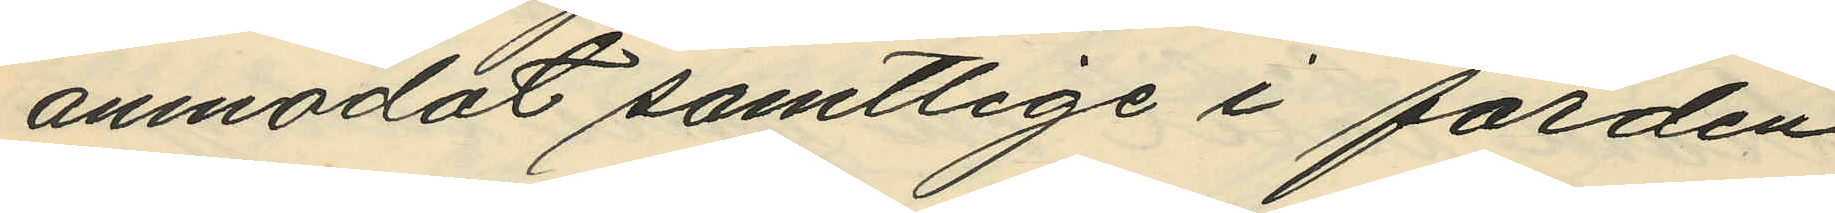anmodat samtlige i färden
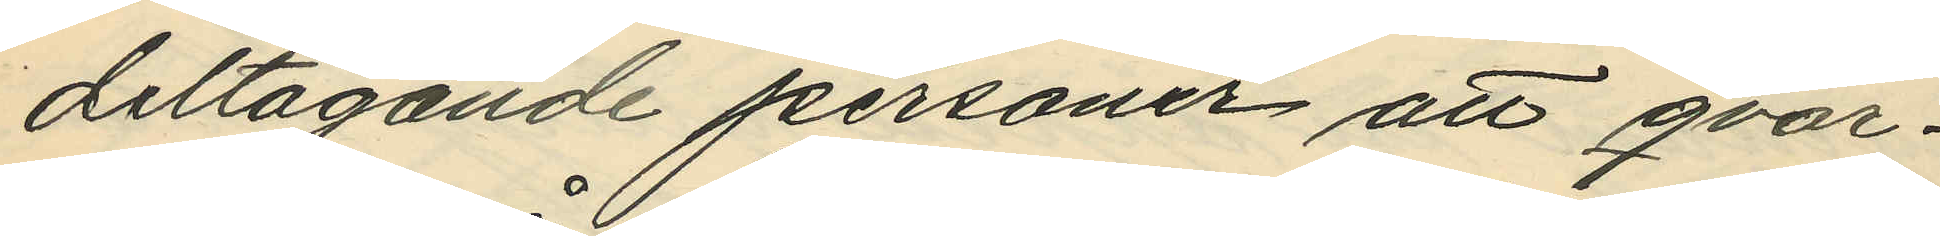deltagande personer att qvar¬
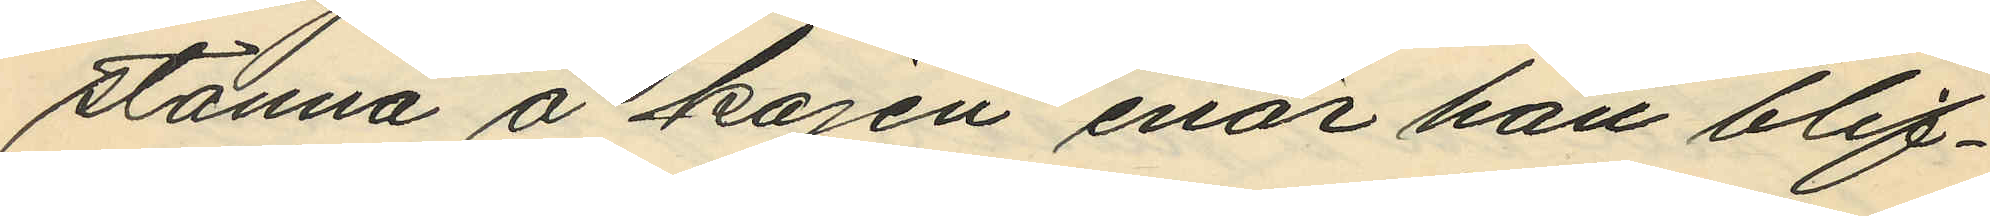stanna å kajen enär han blif¬
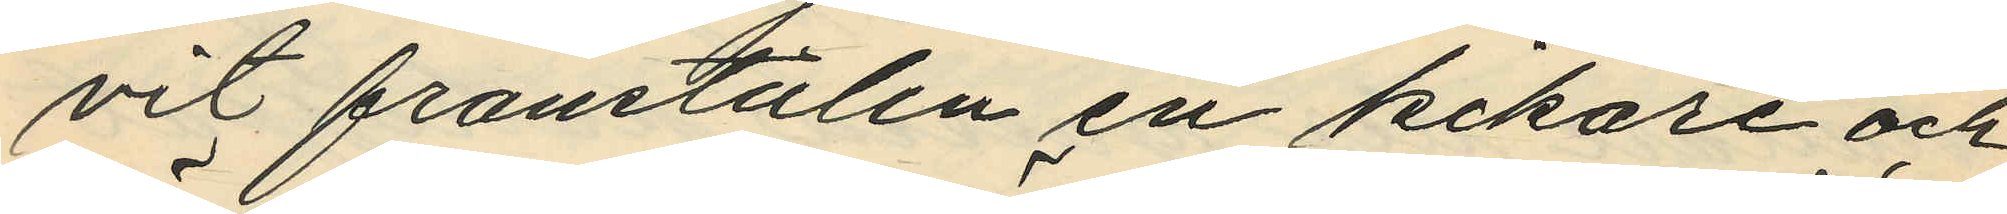vit frånstulen en kikare och
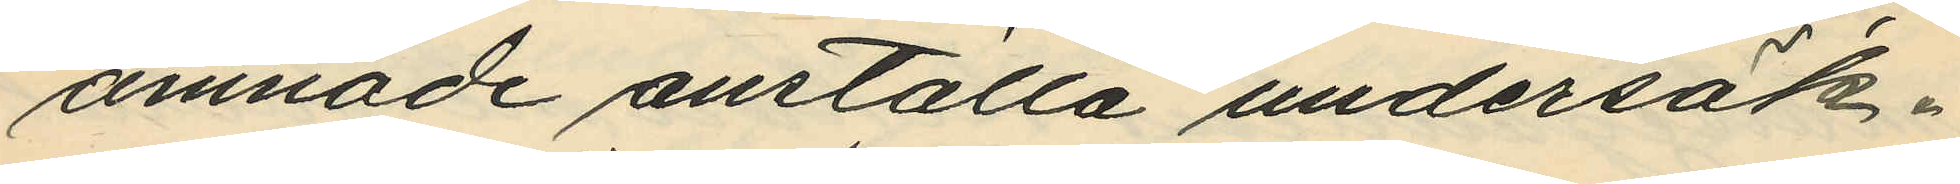ämnade anställa undersök¬
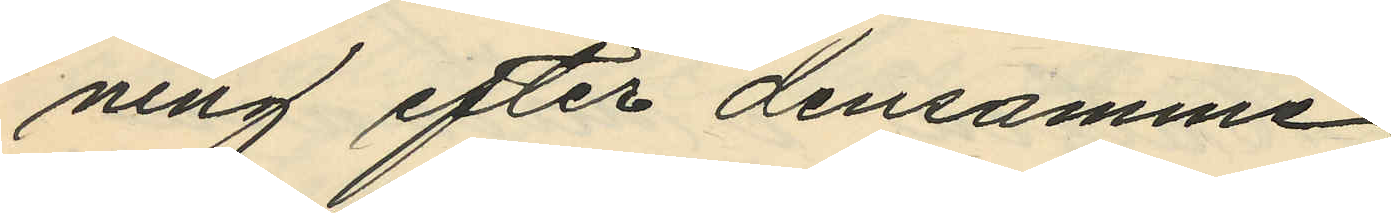ning efter densamme;
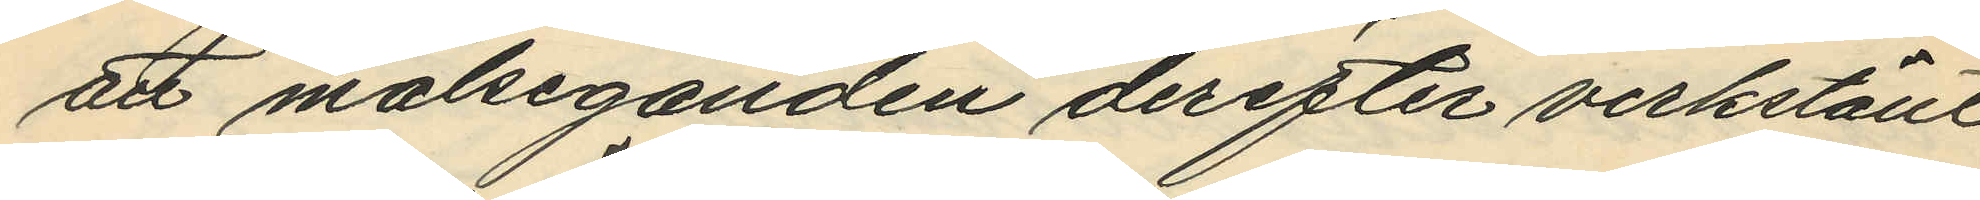att målseganden derefter verkställt
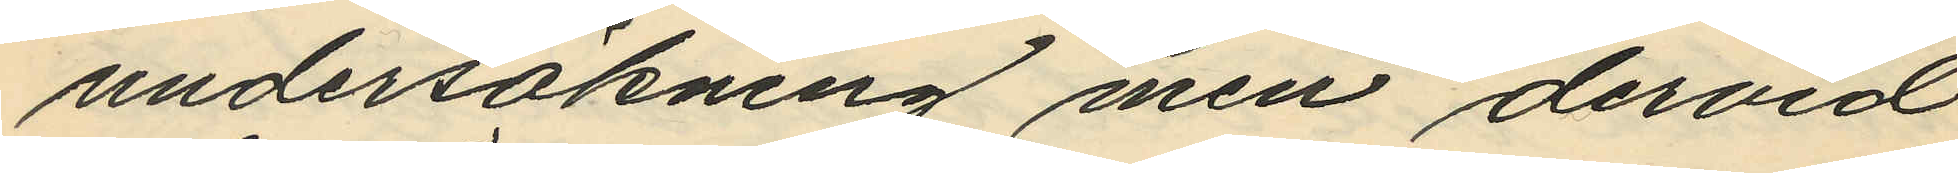undersökning men dervid
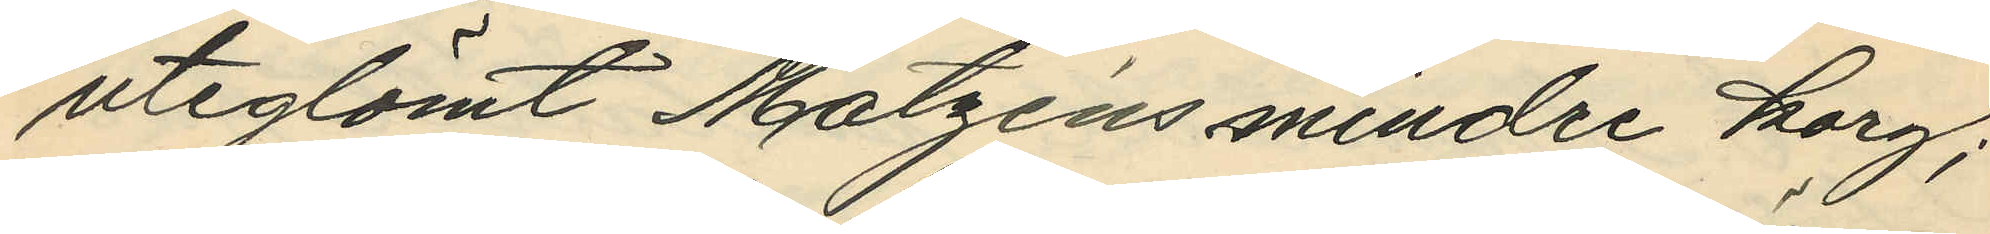uteglömt Matzéns mindre korg;
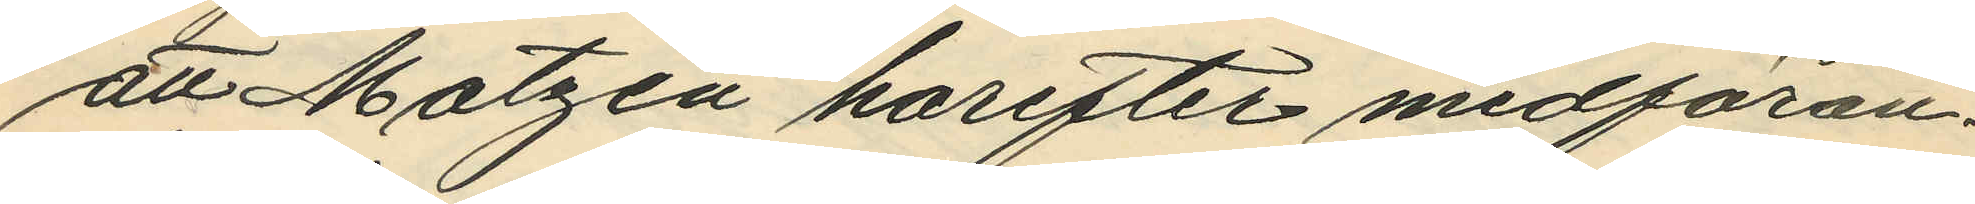att Matzén harefter medföran¬
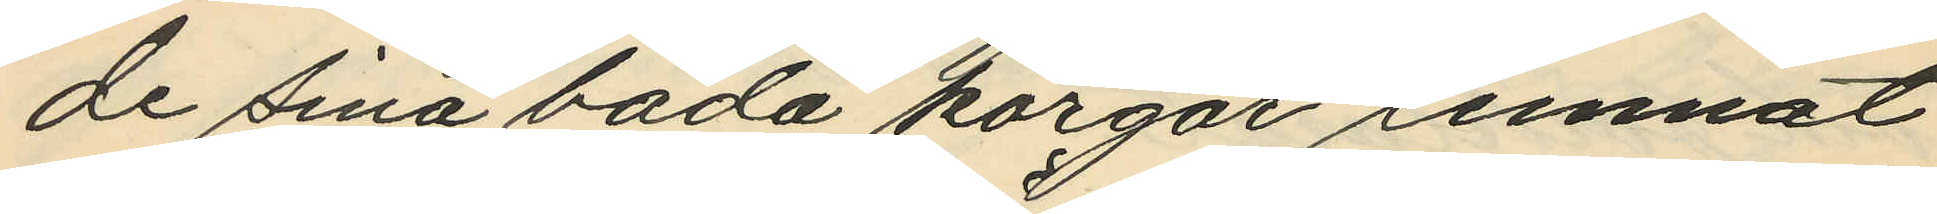de sina båda korgar lemnat
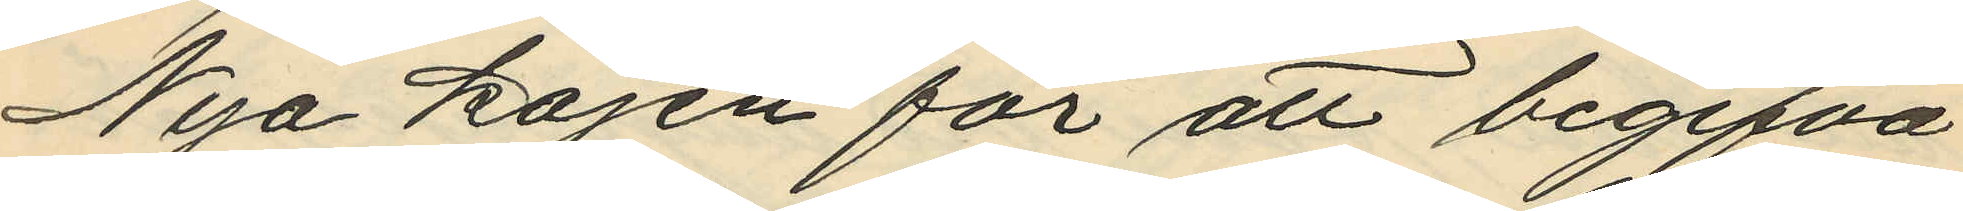Nya kajen för att begifva
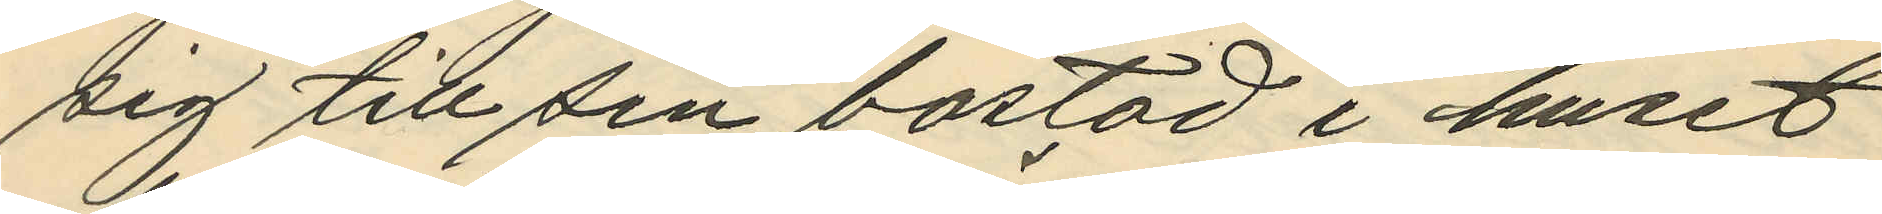sig till sin bostad i huset
